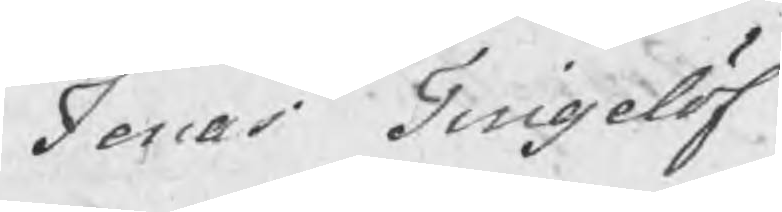Jonas Tingelöf
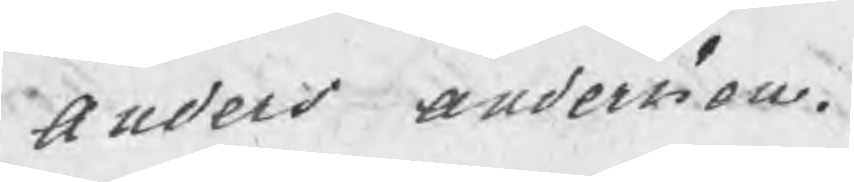Anders Andersson.
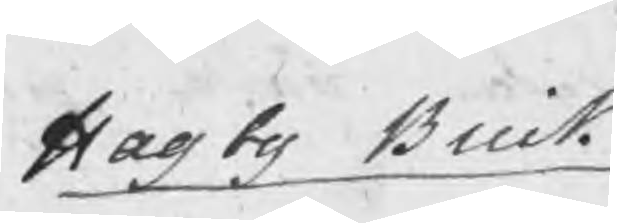Hagby Bruk
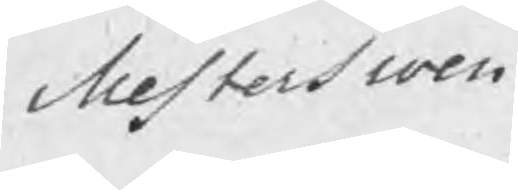Mesterswen
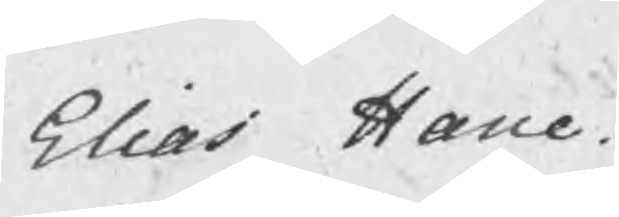Elias Hane.
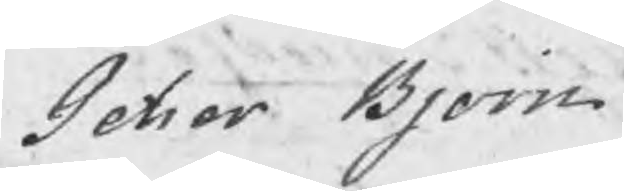Petter Bjorn.
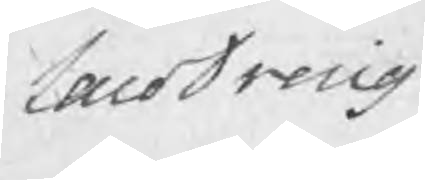LaroDreng
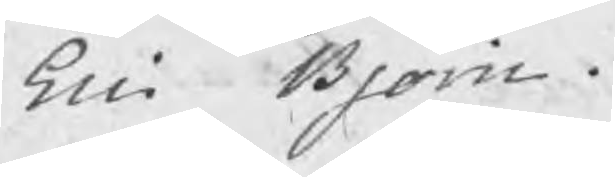Eric Bjorn.
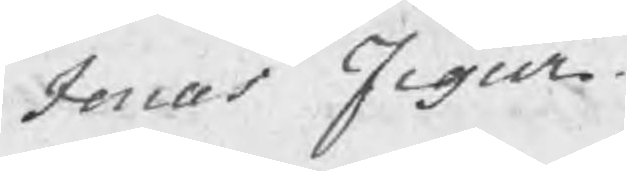Jonas Figur.
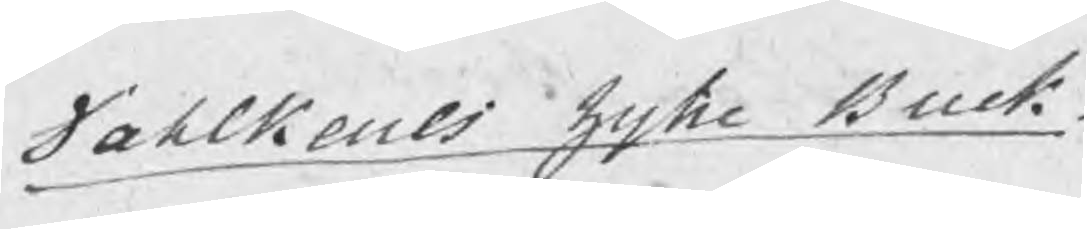Dahlkarls hytte Bruk
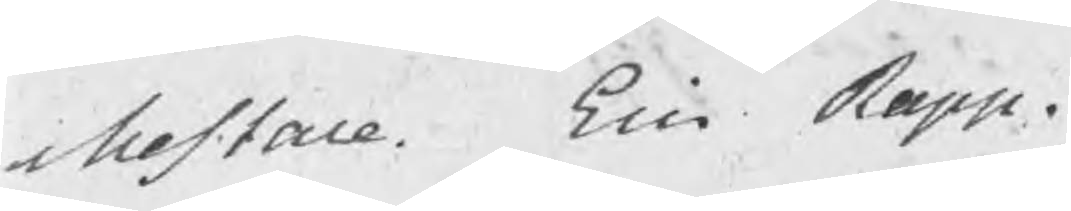Mestare.  Eric Rapp.
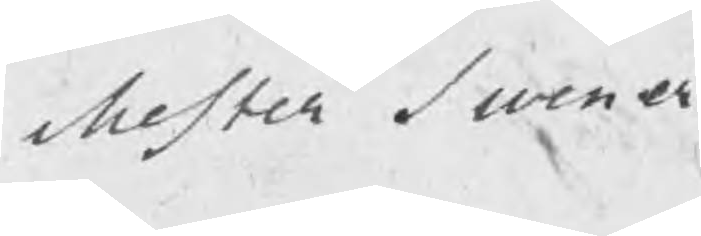Mester swener
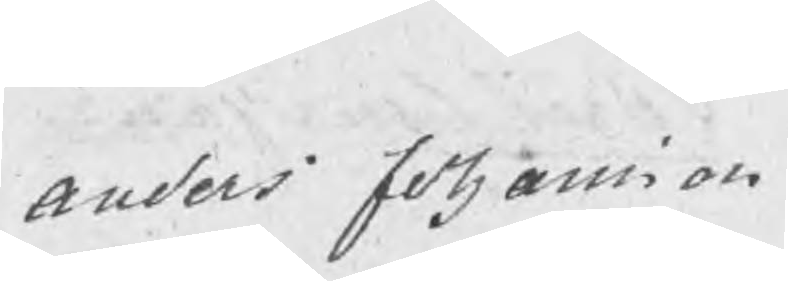Anders Johansson
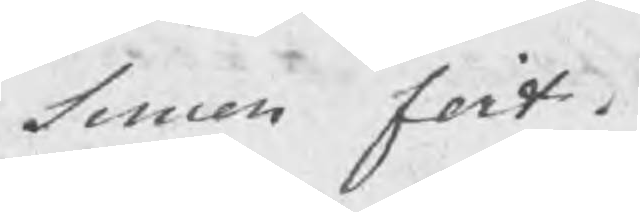Simon Fort.
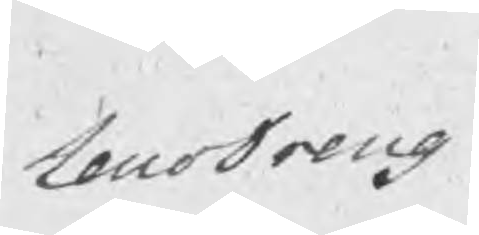LaroDreng
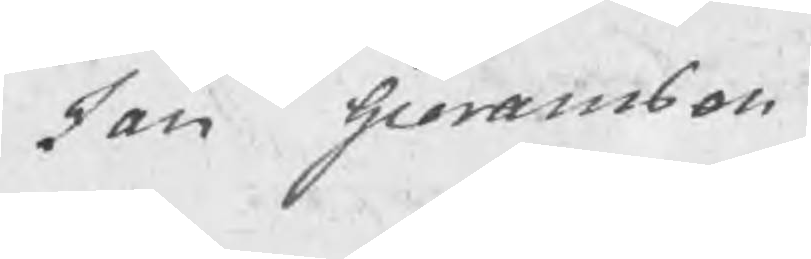Jan Goransson
